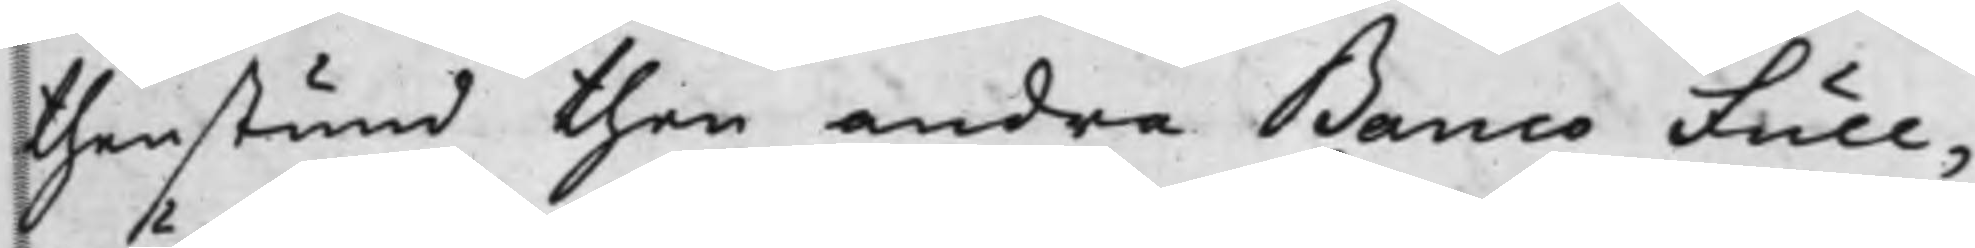thenstund then andra Banco Full¬
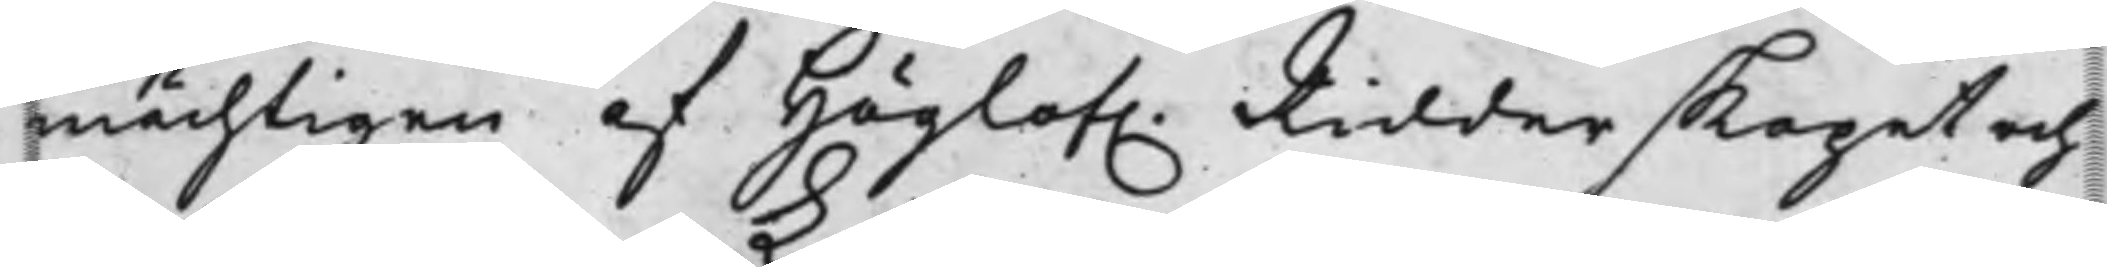mächtigen af Höglof. Ridderskapet och
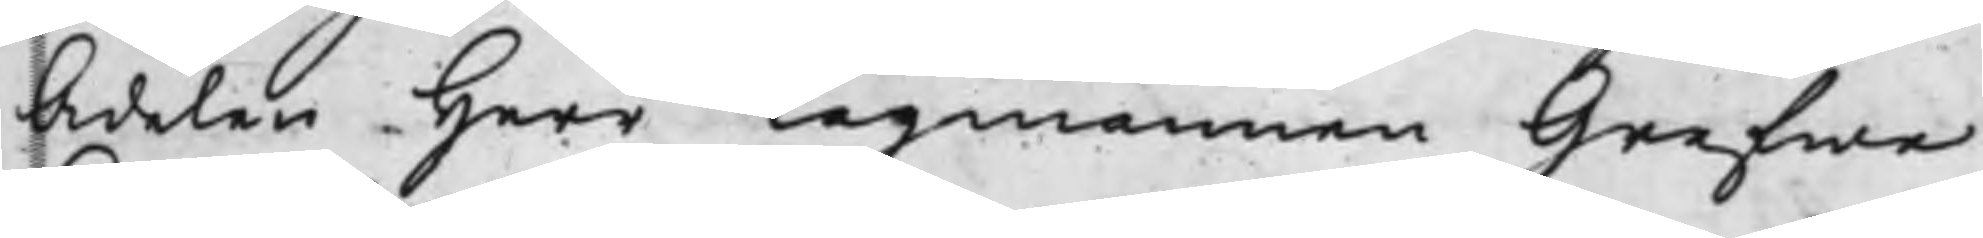Adelen Herr Lagmannen Grefwe
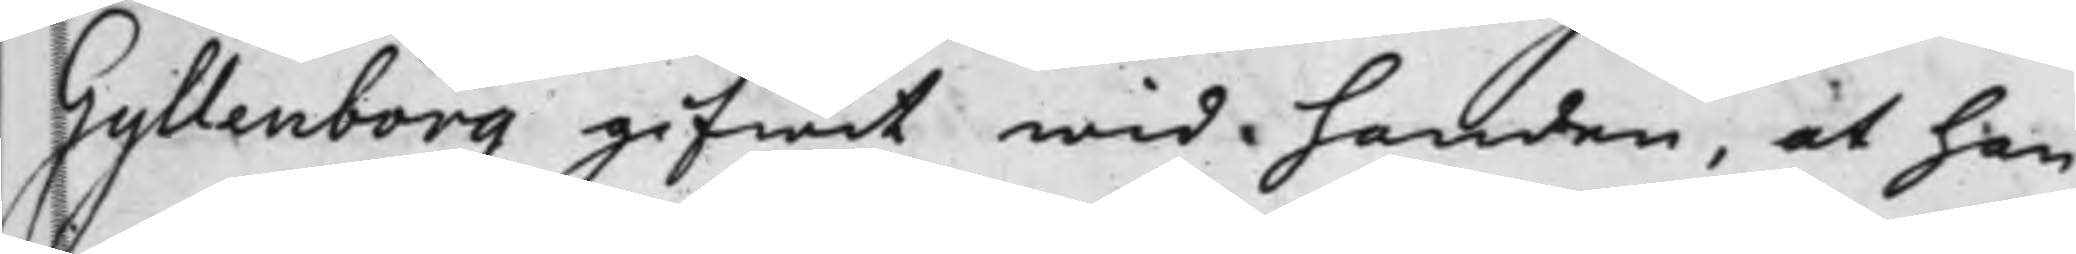Gyllenborg gifwit wid handen, at han
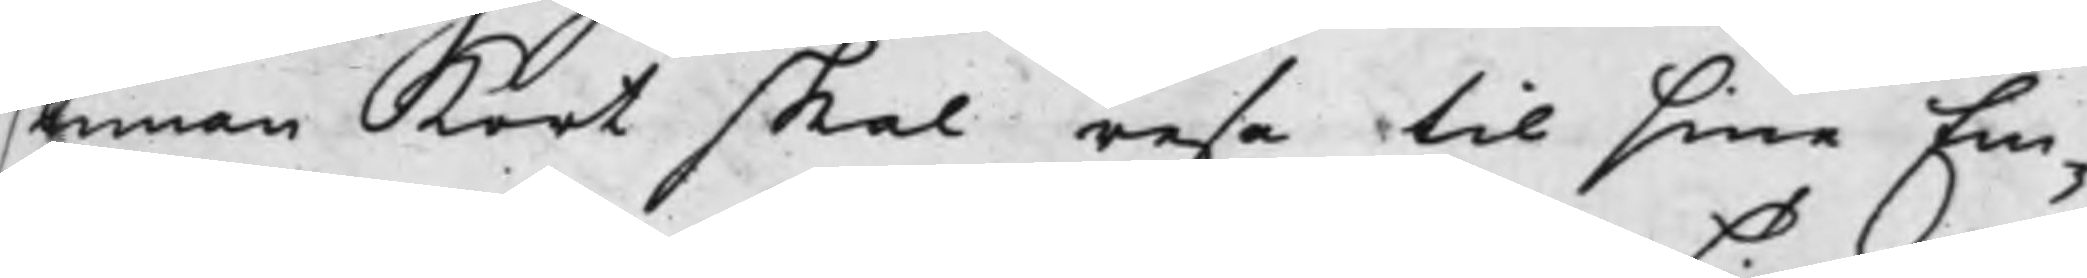innan Kort skal resa til sine Em¬
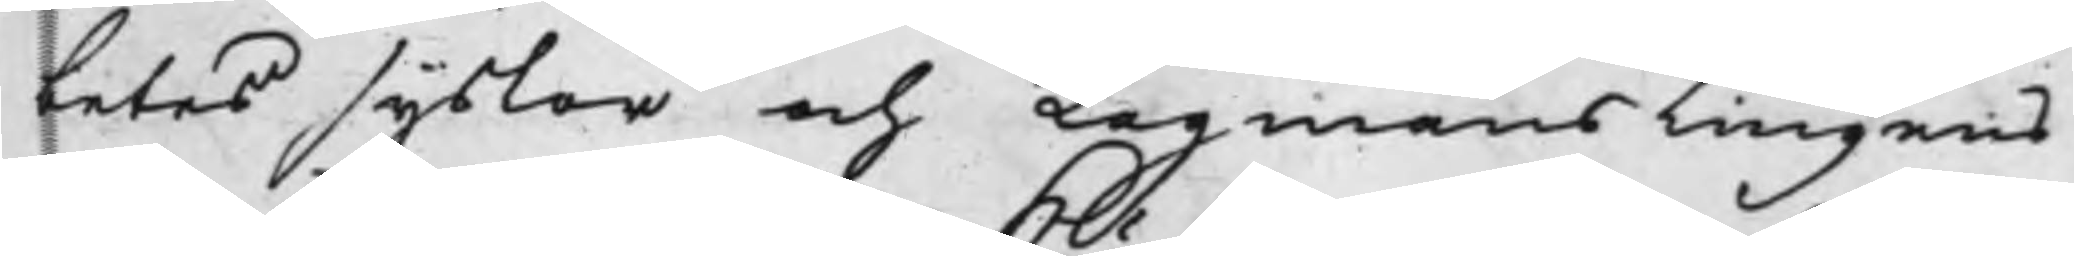betes syslor och Lagmanstingens
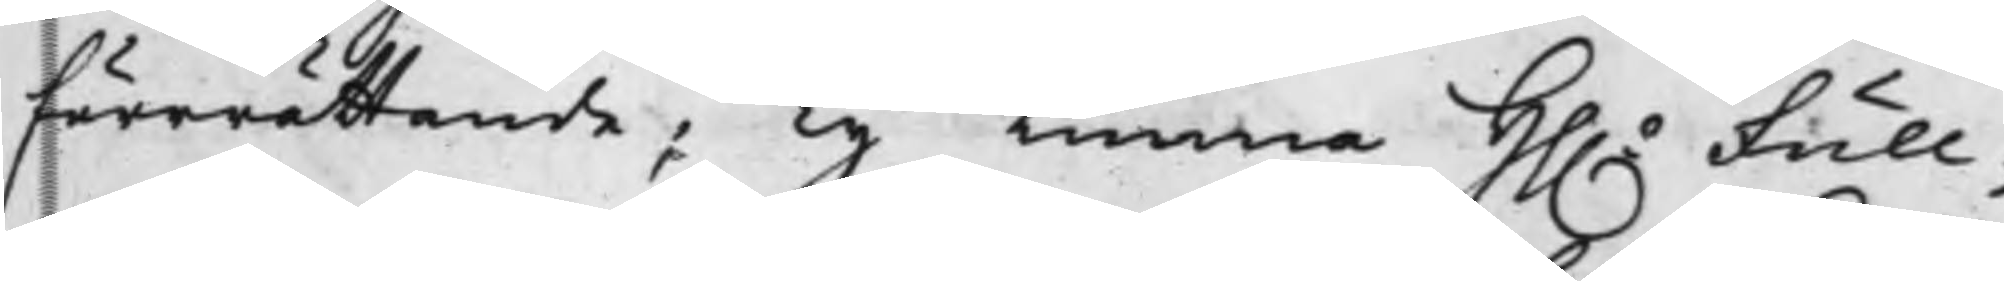förerättande; Ty Kunna Hh. Full¬
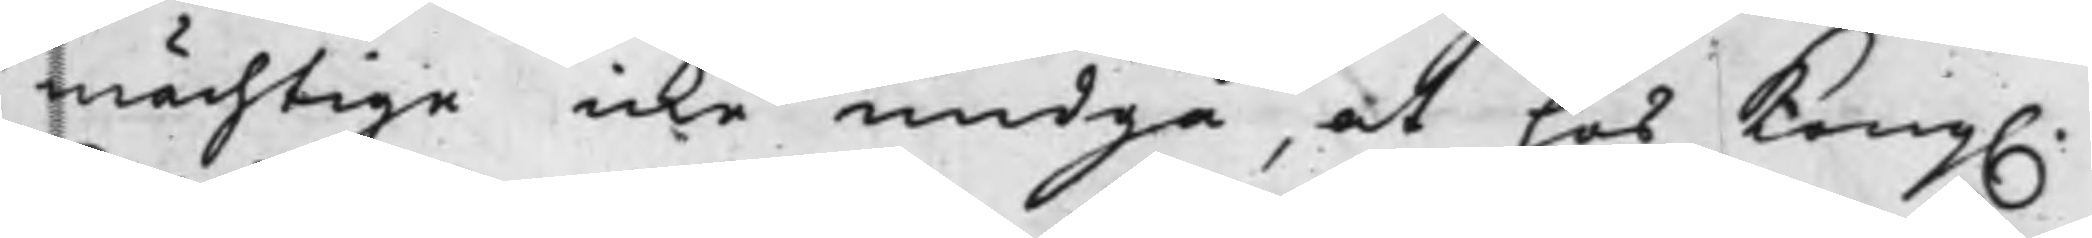mächtige icke undgå, at hos Kong.
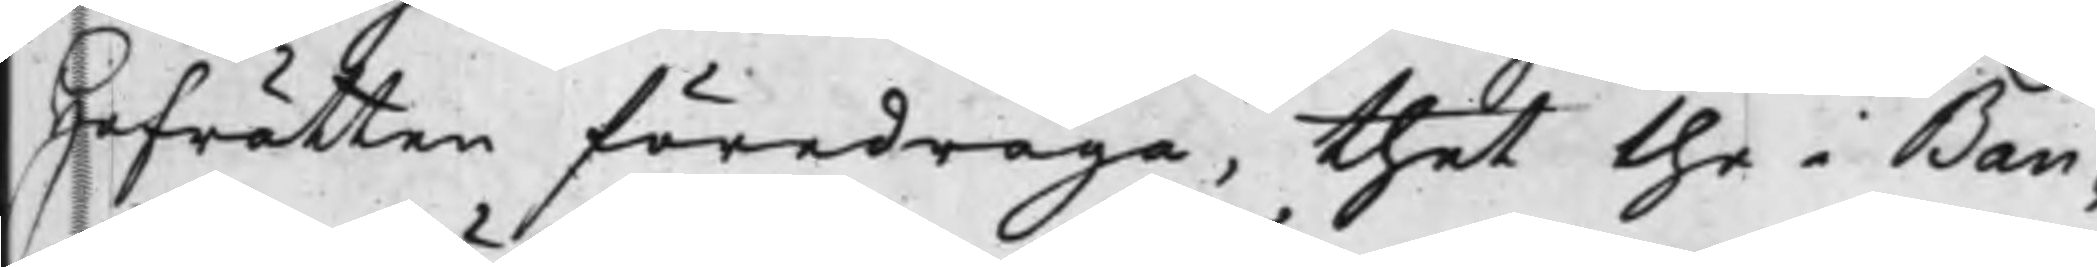Hofrätten föredraga, thet the i Ban¬
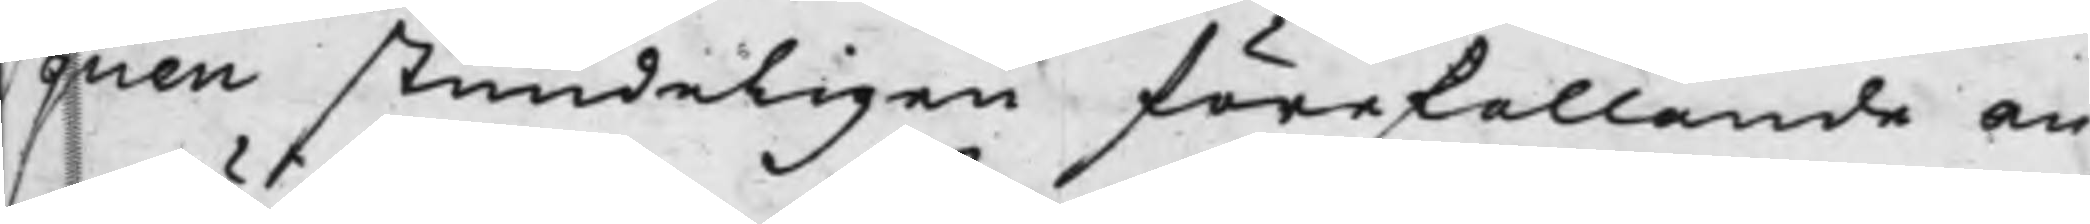quen stundeligen förefallande an¬
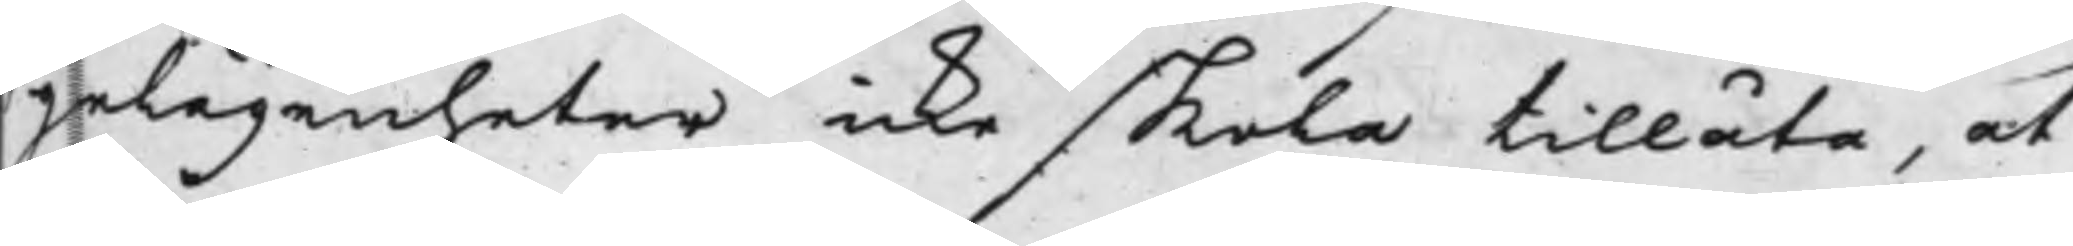gelägenheter icke skola tillåta, at
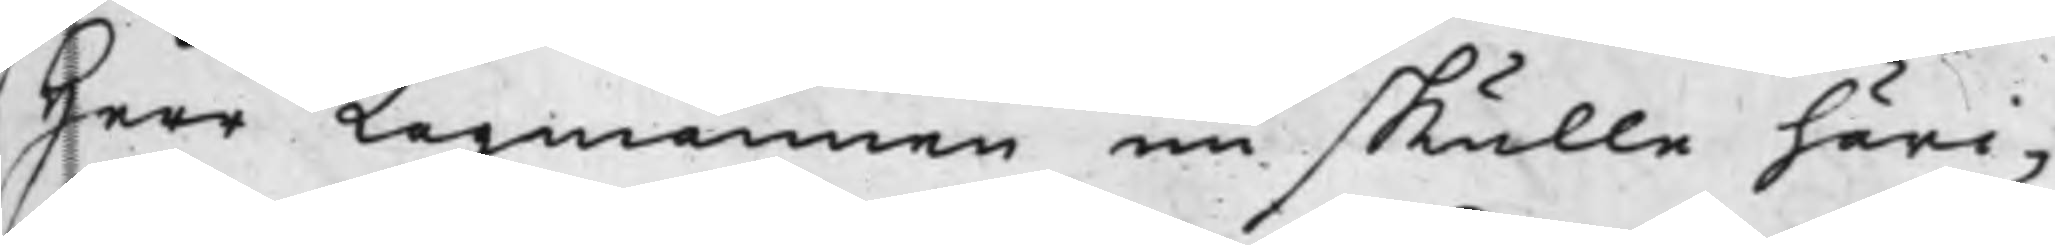Herr Lagmannen nu skulle häri¬
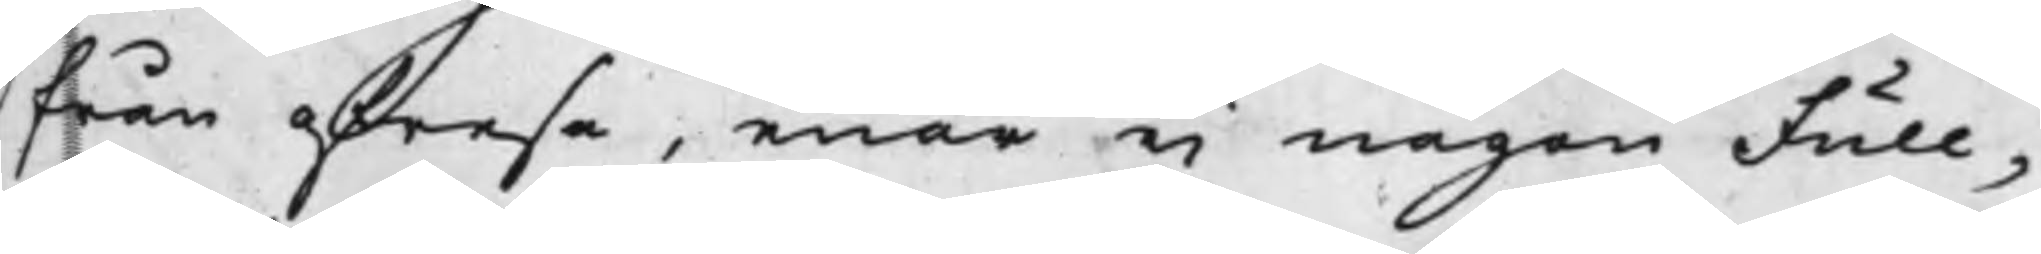från afresa, enär ej någon Full¬
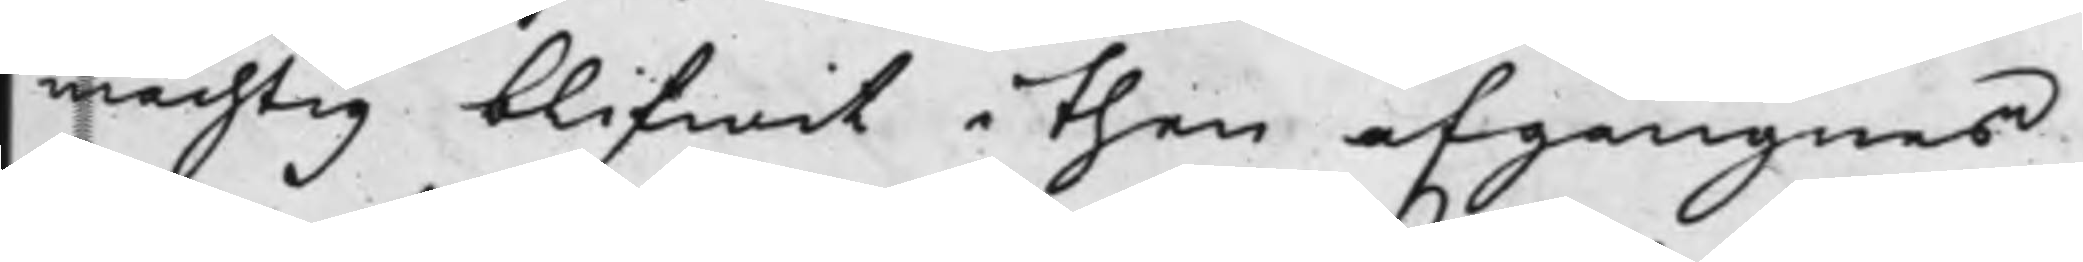mächtig blifwit i then afgångnes
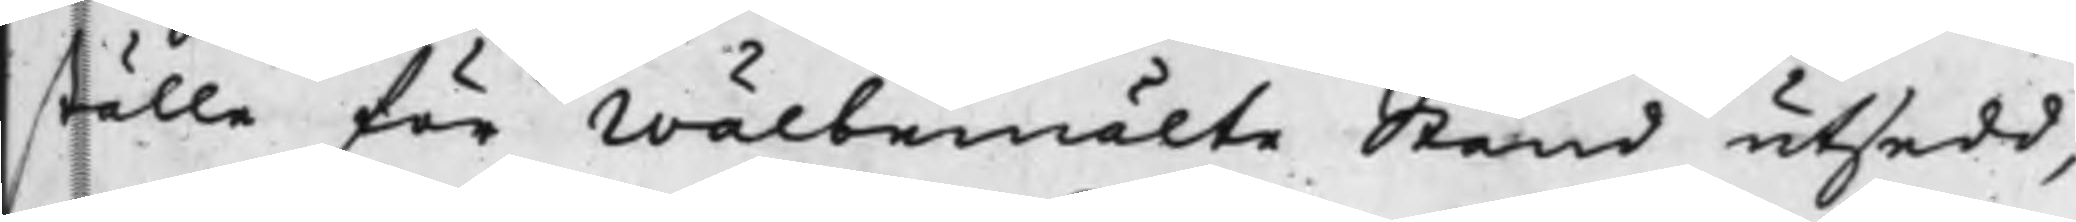ställe för Wälbemälte Stånd utsedd,
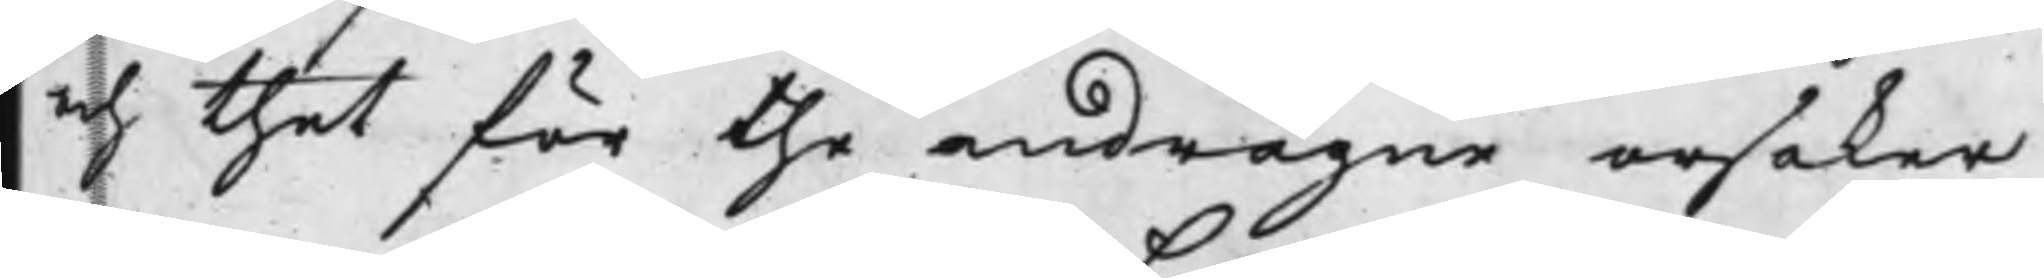och thet för the andragne orsaker
